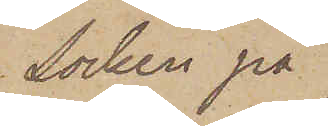Socken på
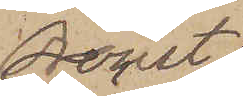Oroust
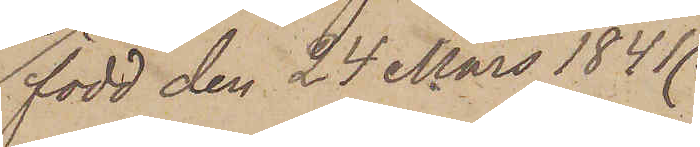född den 24 Mars 1841
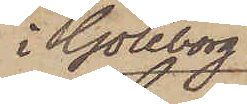i Göteborg
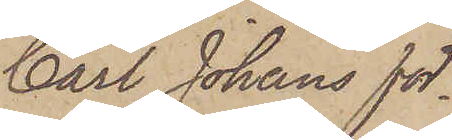Carl Johans för¬
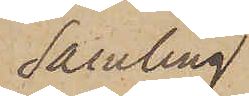samling
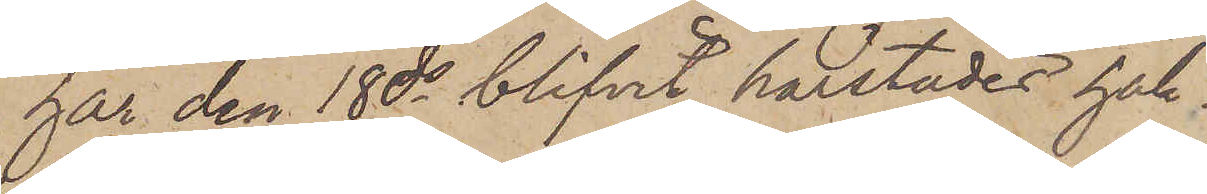har den 18 ds blifvit härstädes häk¬
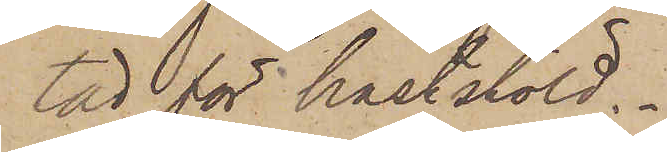tad för häststöld.
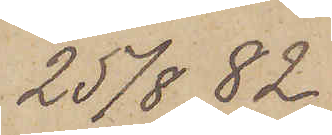25/8  82.
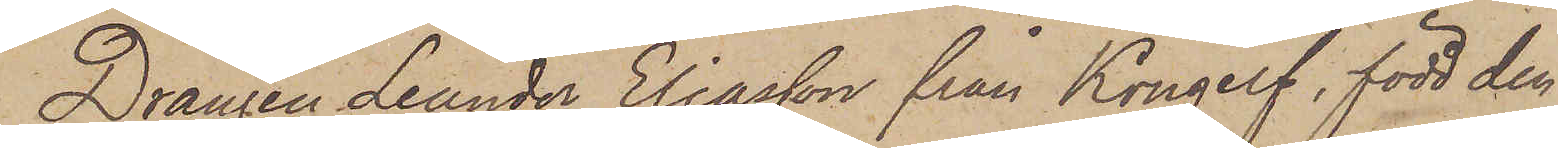Drängen Leander Eliasson från Kongelf, född den
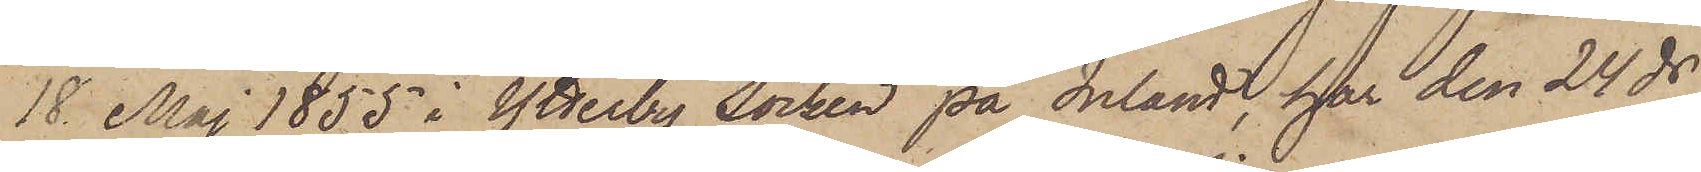18 Maj 1855 i Ytterby Socken på Inland, har den 24 ds
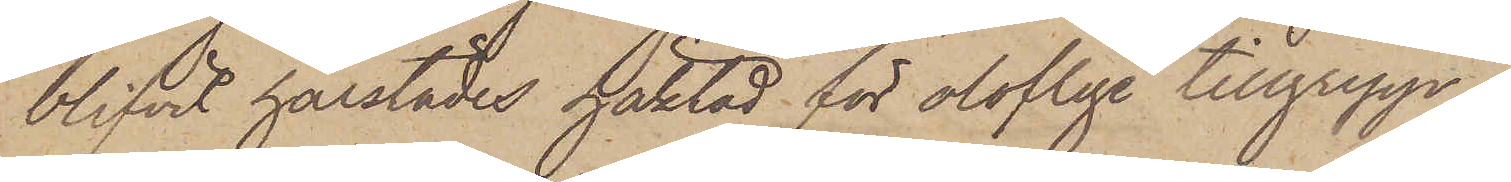blifvit härstädes häktad för oloflige tillgrepp.
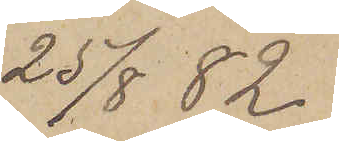25/8  82.
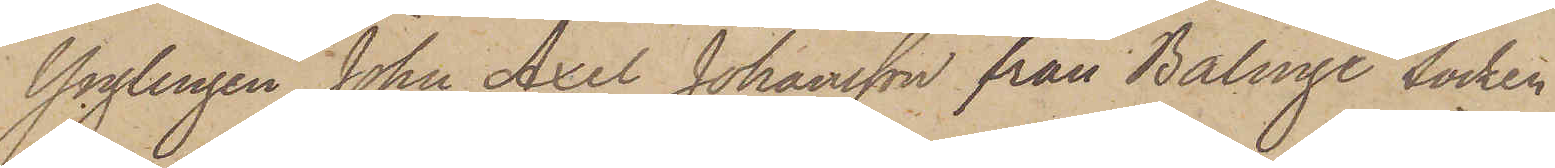Ynglingen John Axel Johansson från Bälinge Socken
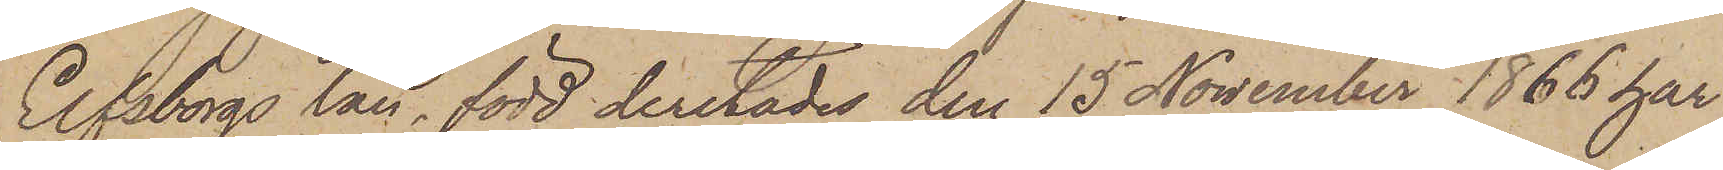Elfsborgs län, född derstädes den 15 November 1866 har
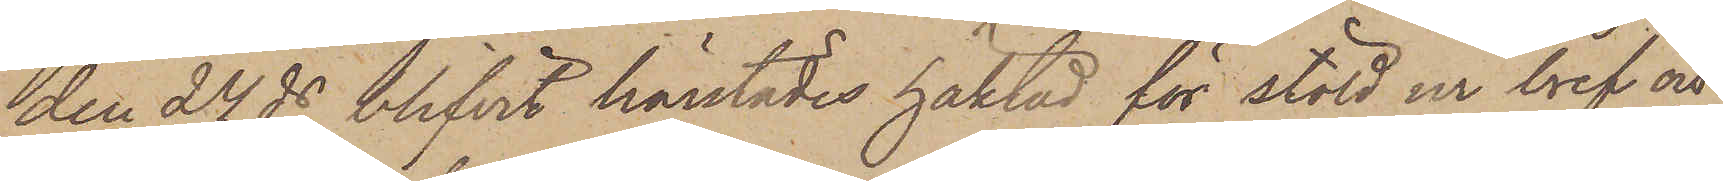den 24 ds blifvit härstädes häktad för stöld ur bref och
